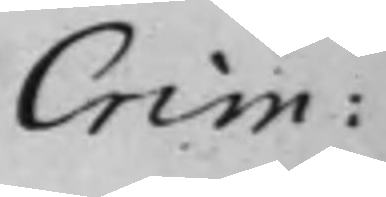Crim:
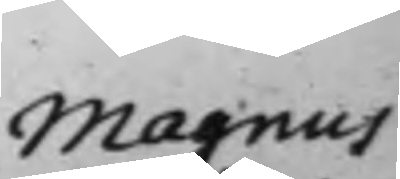Magnus
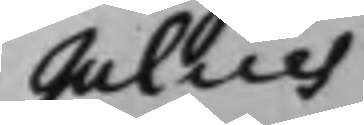Julius
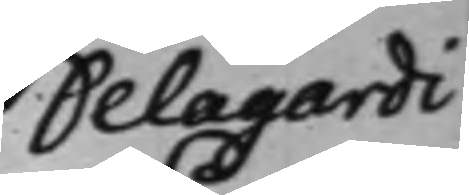Delagardi
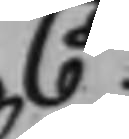C.
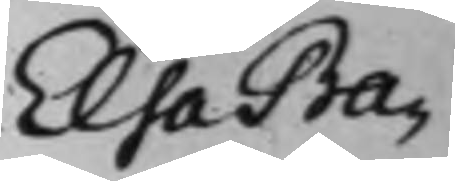Elsa Ba¬
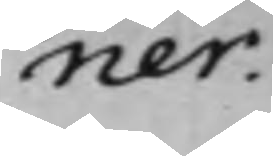ner.
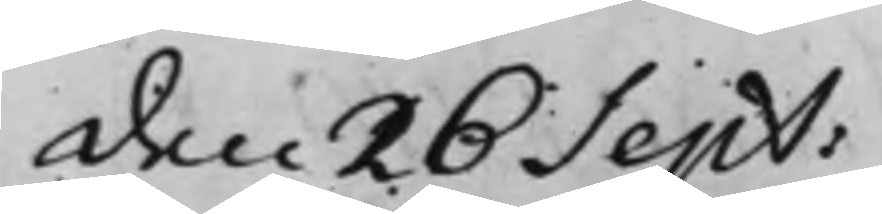den 26 Sept:
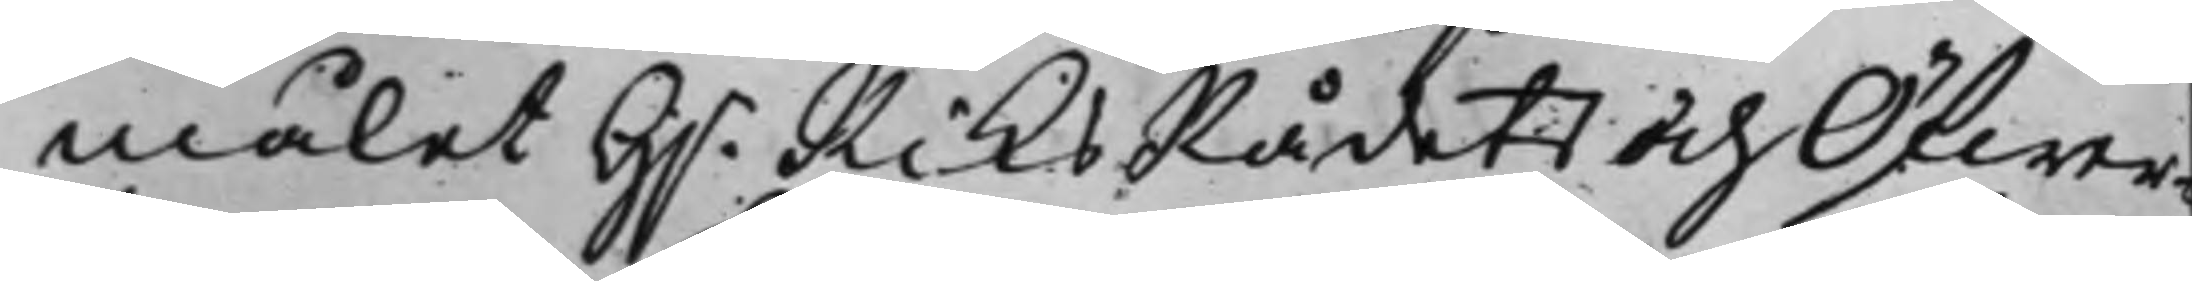målet H.r RiksRådets och Öfwer¬
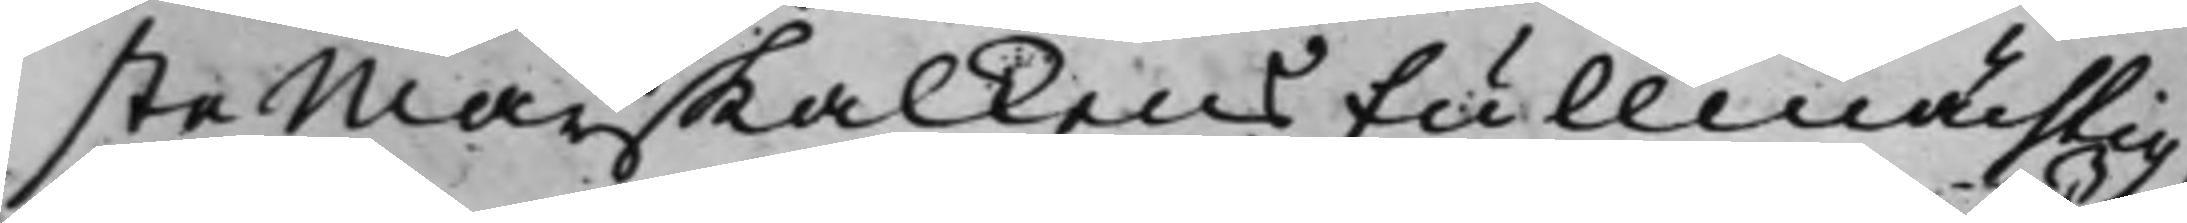ste Marskalkens Fullmächtig,
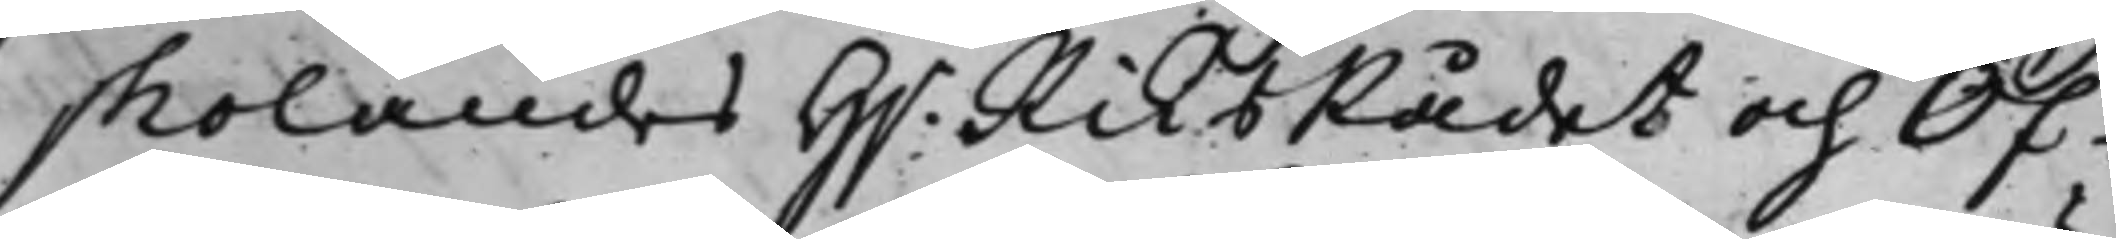skolandes H.r RiksRådet och Öf¬
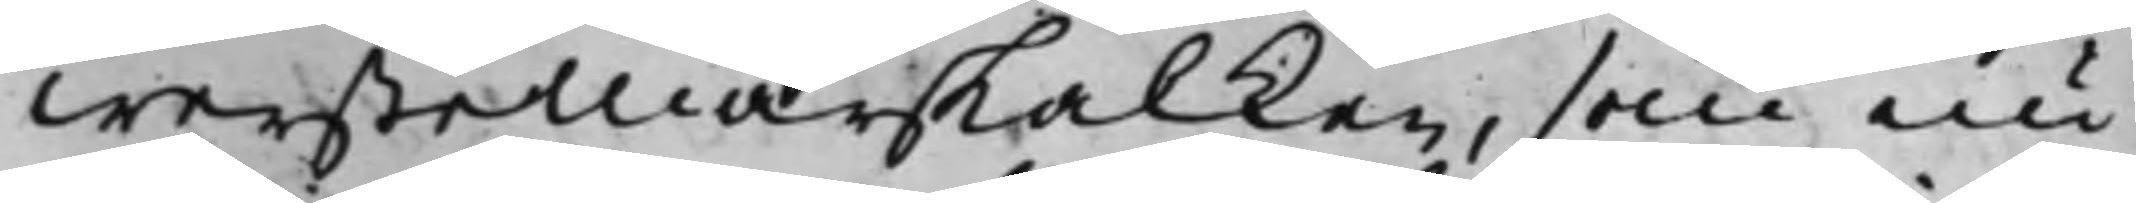werstemarskalken, som nu
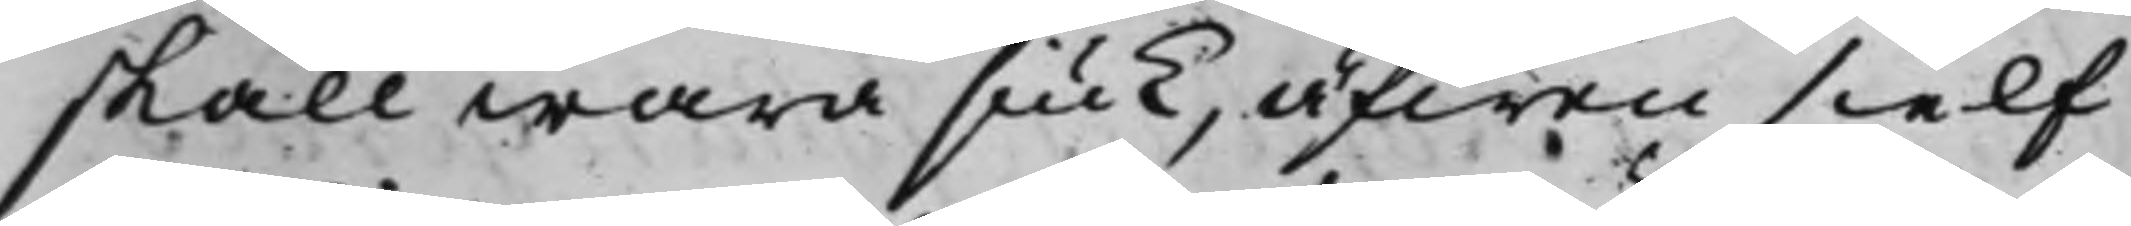skall wara siuk, äfwen sielf
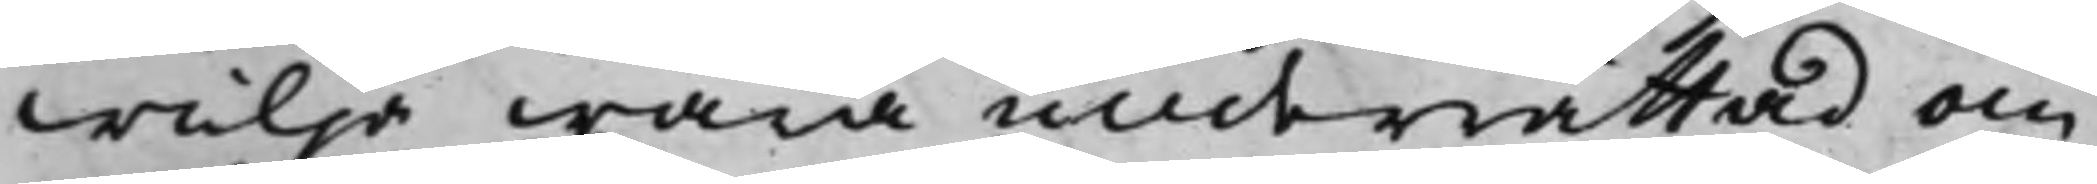willja wara underrättad om
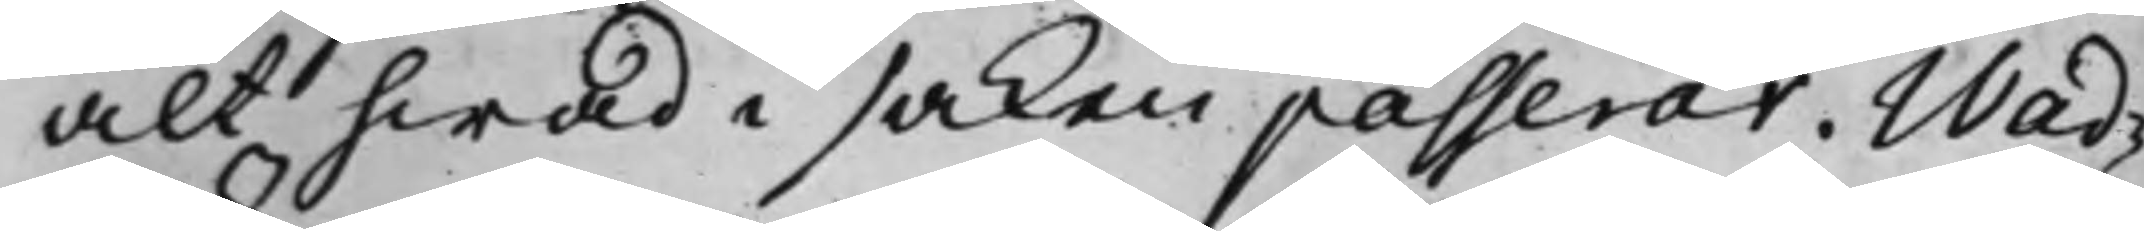alt hwad i saken passerar. Wad¬
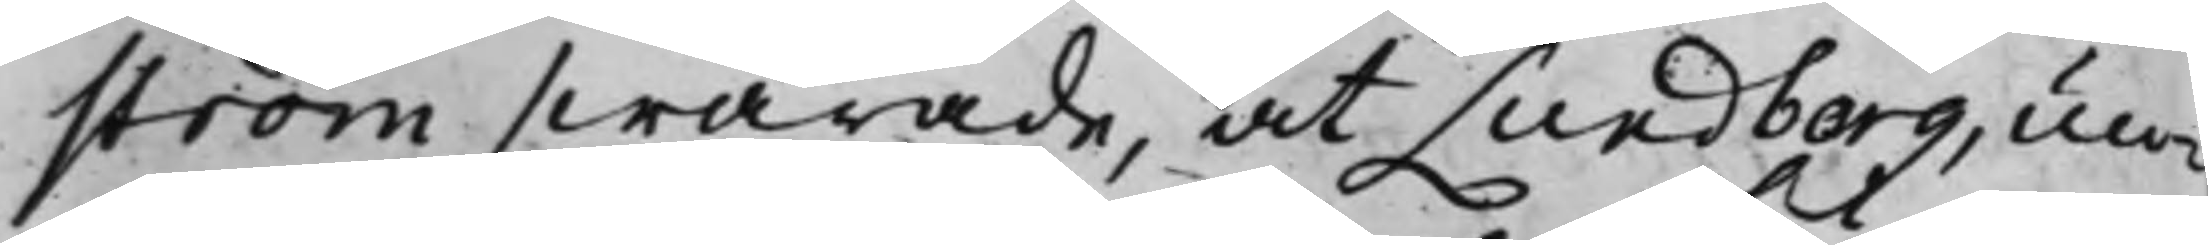ström swarade, at Lundborg, un¬
